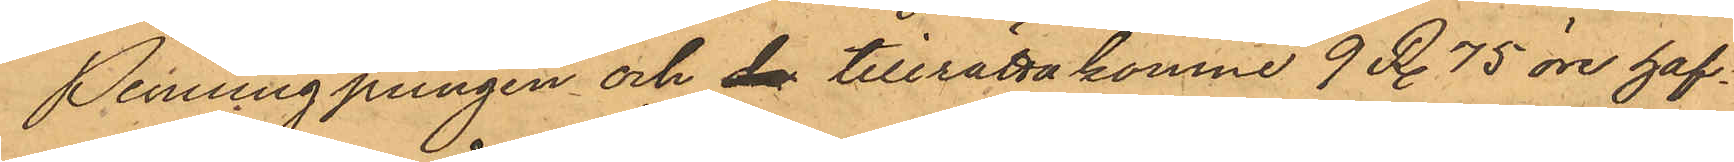Penningpungen och de tillrättakomne 9 R. 75 öre haf¬
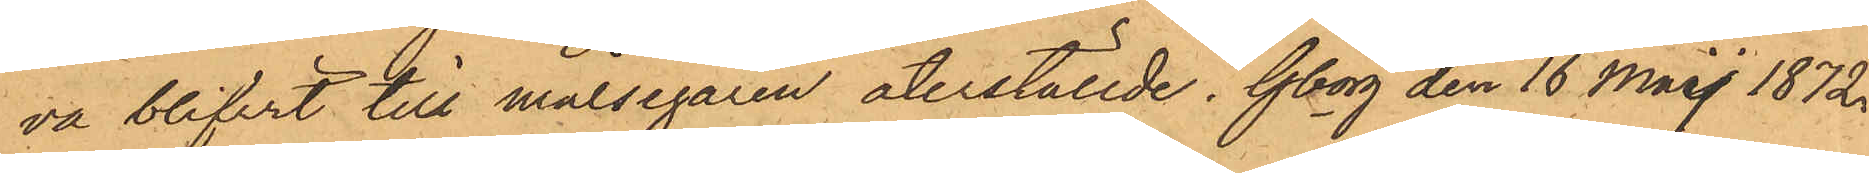va blifvit till målsegaren återställde. Gborg den 16 Maij 1872.
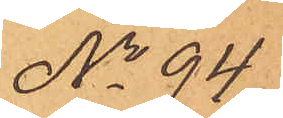No 94
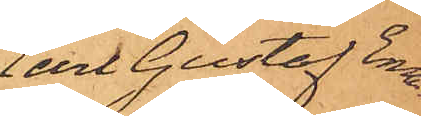Carl Gustaf Ema¬
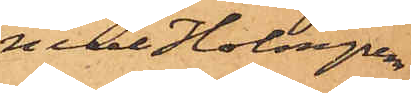nuel Holmgren
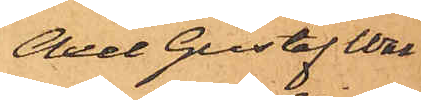Axel Gustaf Wal¬
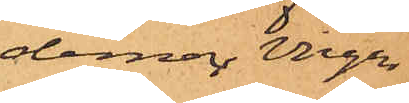demar Virgin
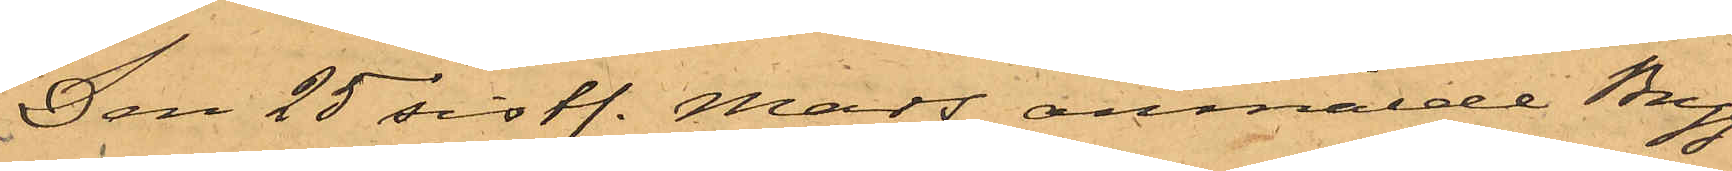Den 25 sistl. Mars anmälde Bryg¬
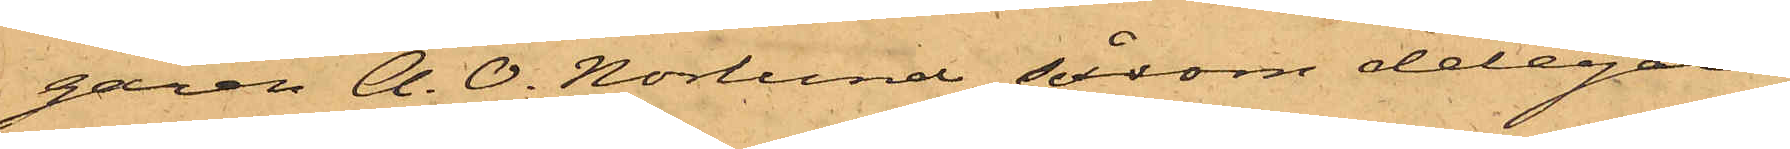garen A. O. Norlund, såsom delegare
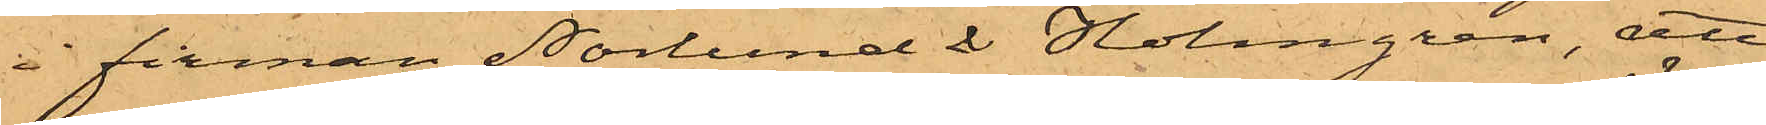å firman Norlund & Holmgren, att
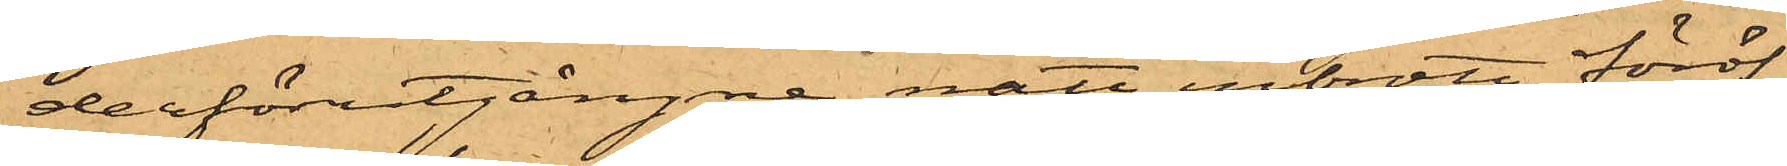derförutgångne natt inbrott föröf¬
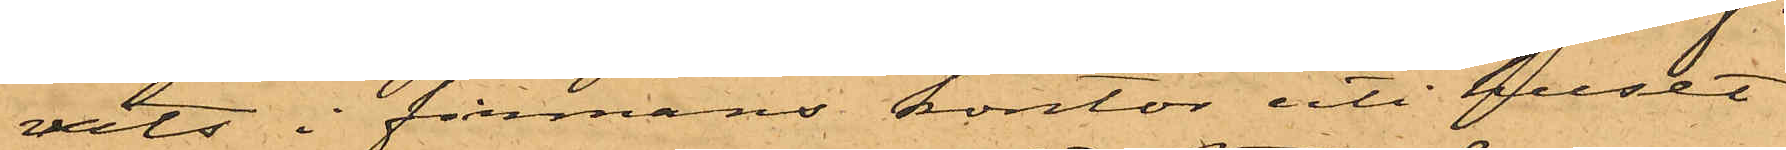vits i firmans kontor uti huset
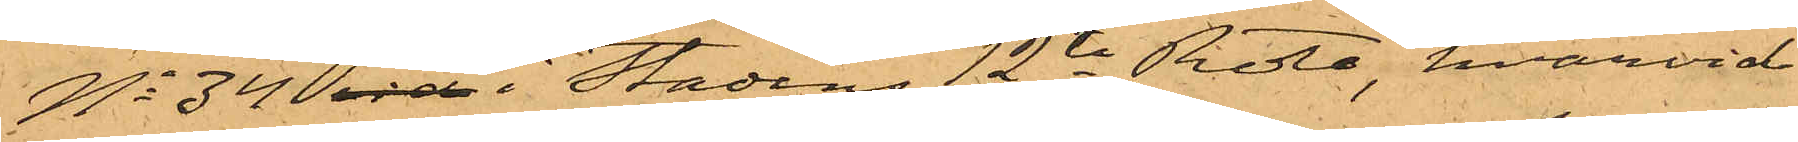No 34 vid i Stadens 12te Rote, hvarvid
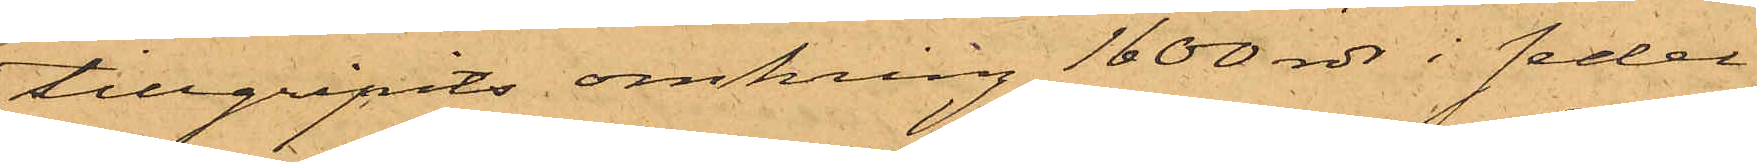tillgripits omkring 1600 rdr i sedel¬
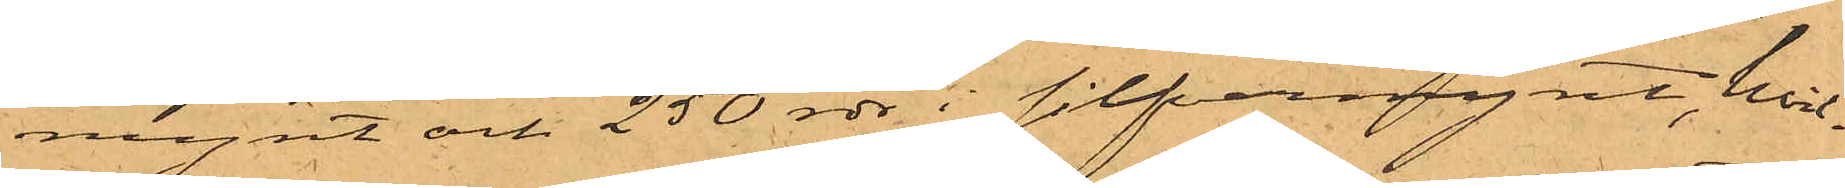mynt och 250 rdr i silfvermynt, hvil¬
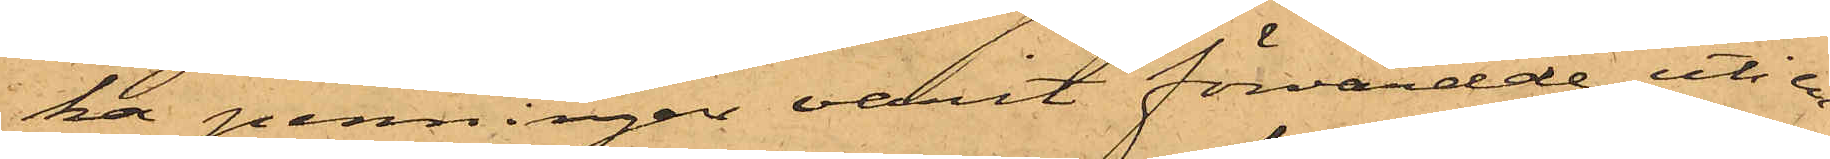ka penningar varit förvarade uti en
